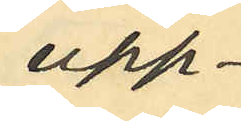upp¬
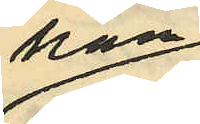gaf han
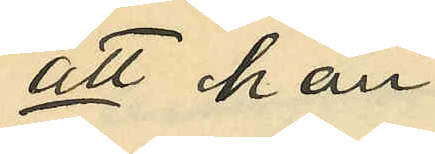att han
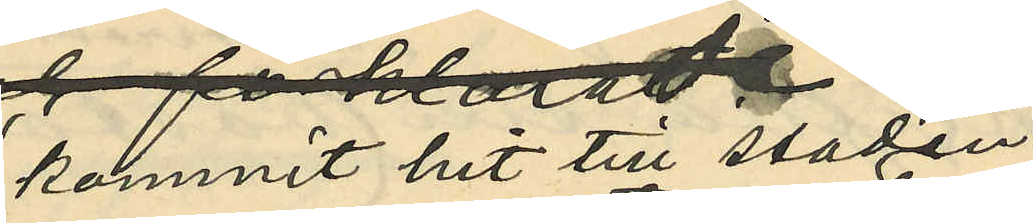kommit hit till staden
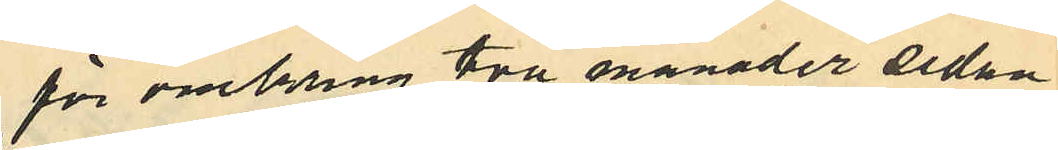för omkring två månader sedan
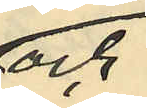och
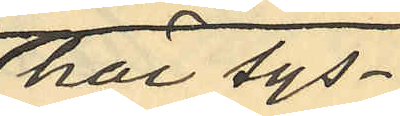här sys¬
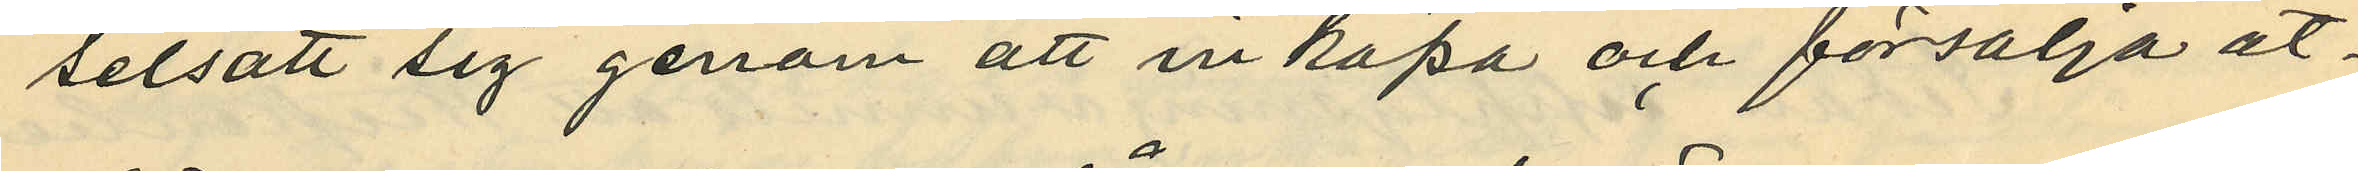selsatt sig genom att inköpa och försälja åt¬
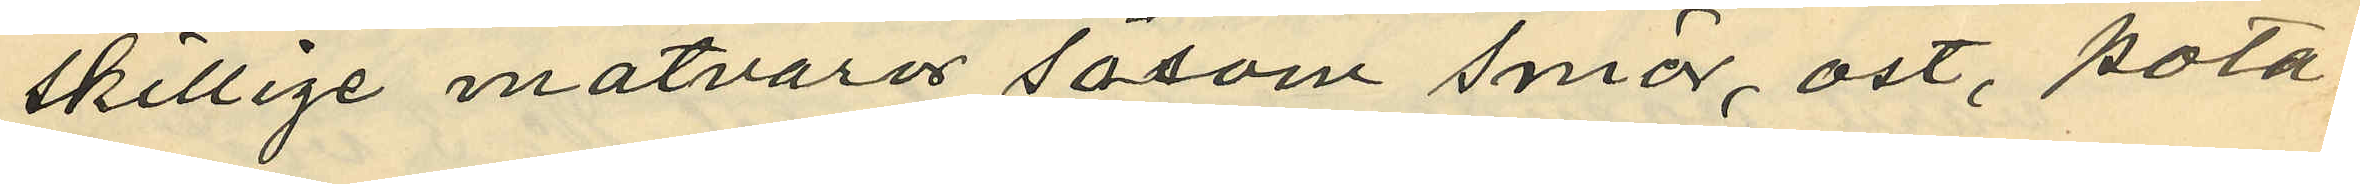skillige matvaror såsom smör, ost, pota¬
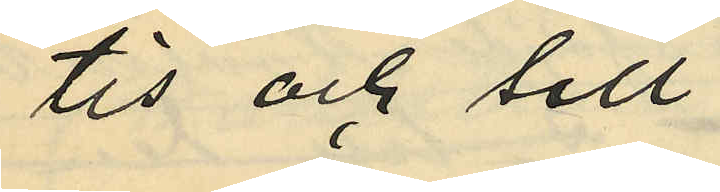tis och sill;
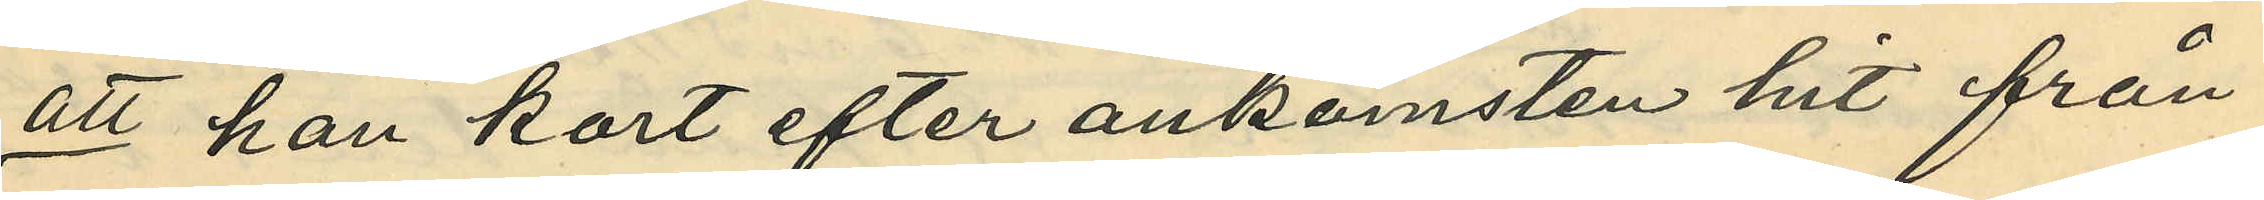att han kort efter ankomsten hit från
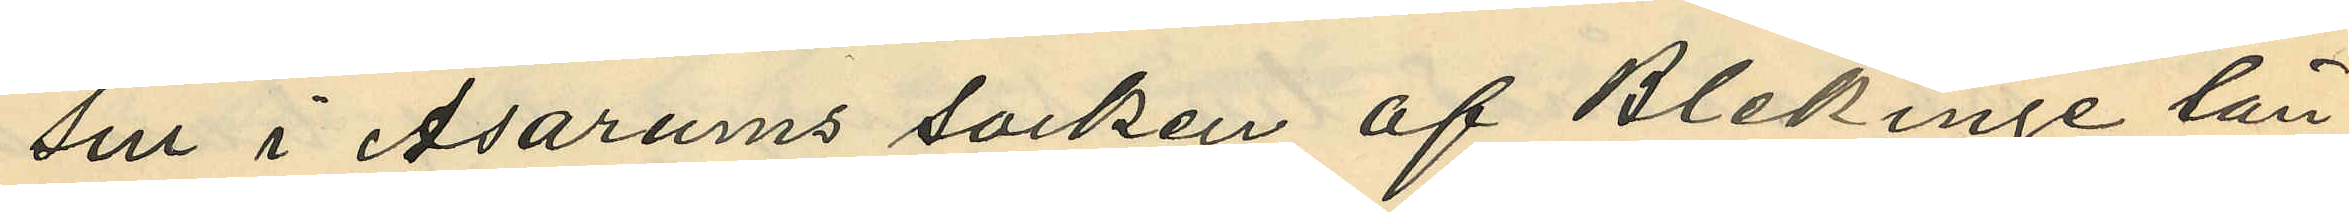sin i Asarums socken af Blekinge län
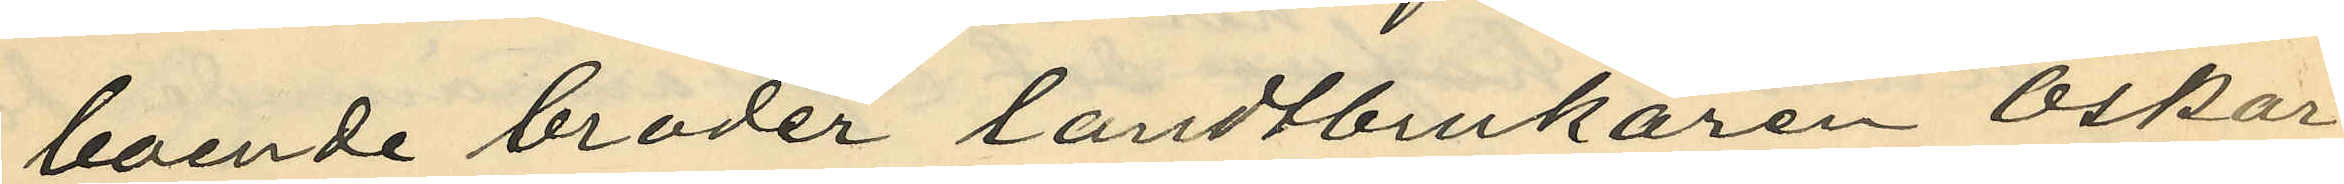boende broder landtbrukaren Oskar
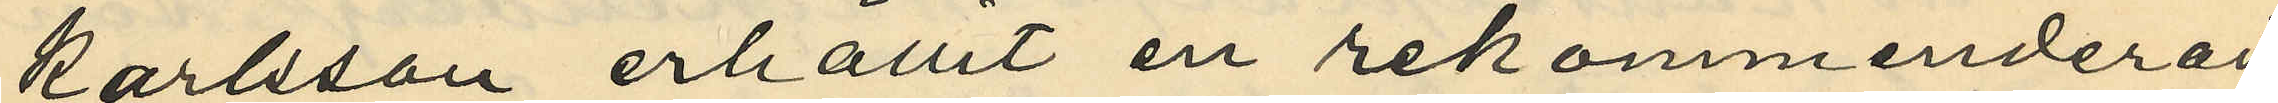Karlsson erhållit en rekommenderad
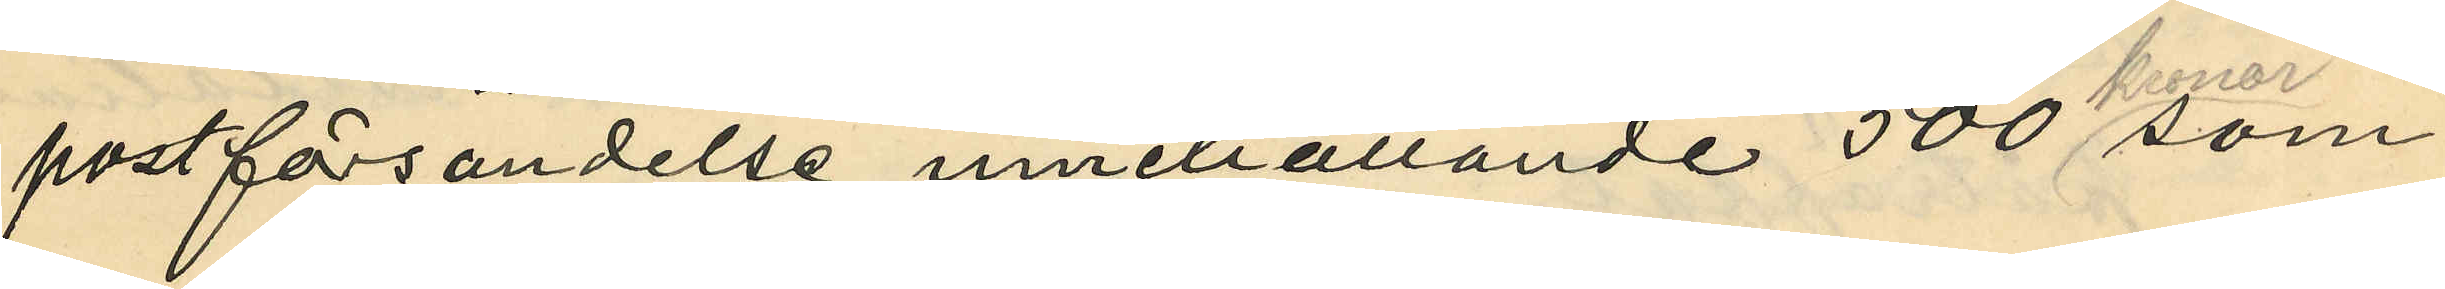postförsändelse innehållande 500 kronor som
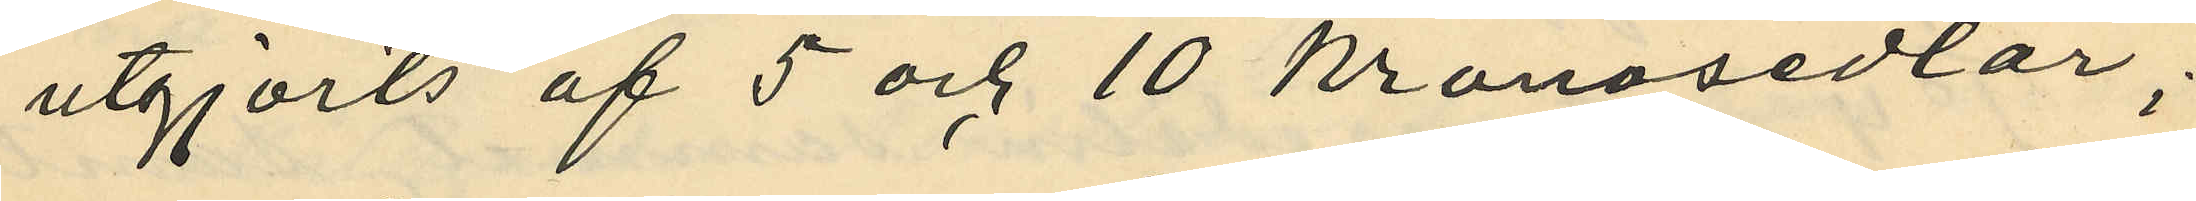utgjorts af 5 och 10 kronosedlar;
